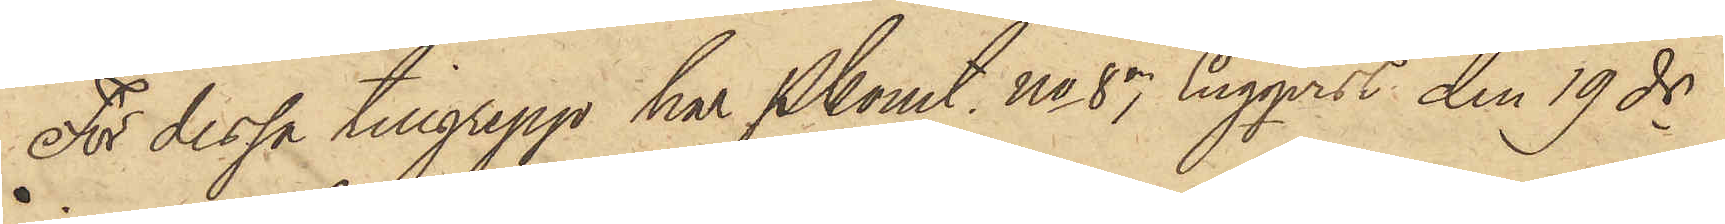För dessa tillgrepp har Pkonst. No 87 Engqvist den 19 ds
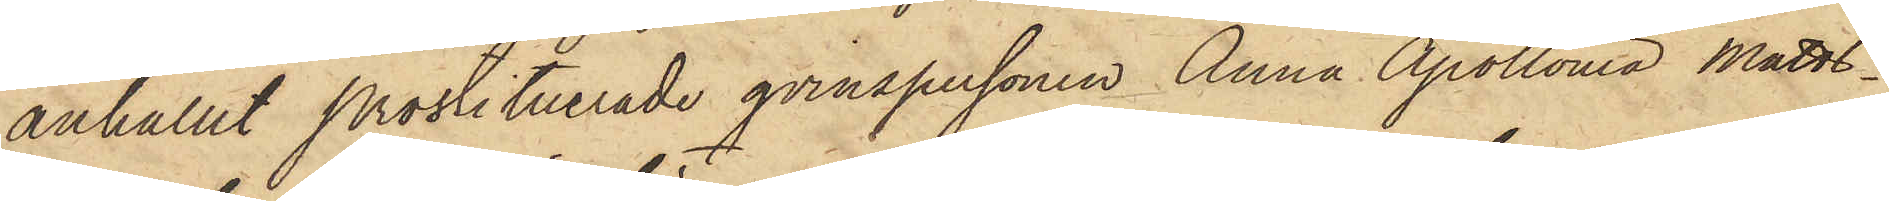anhållit Prostituerade qvinspersonen Anna Apollonia Matts¬
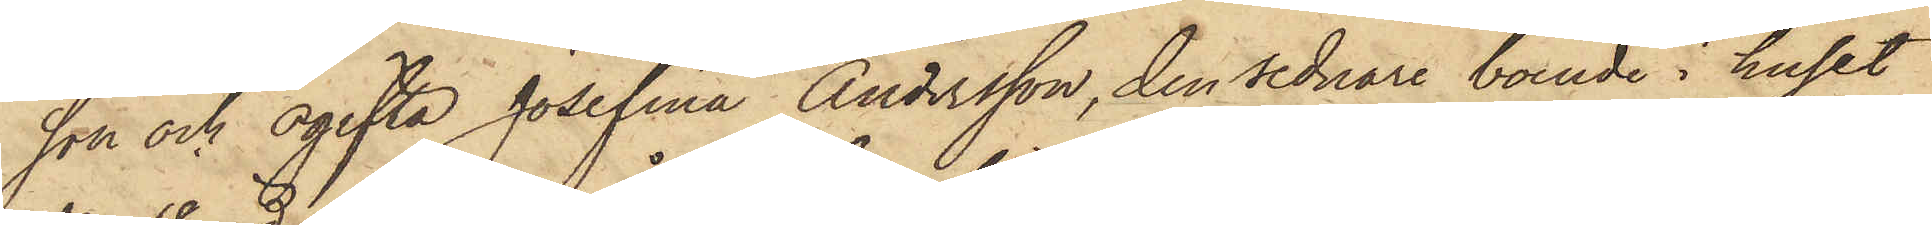son och ogifta Josefina Andersson, den sednare boende i huset
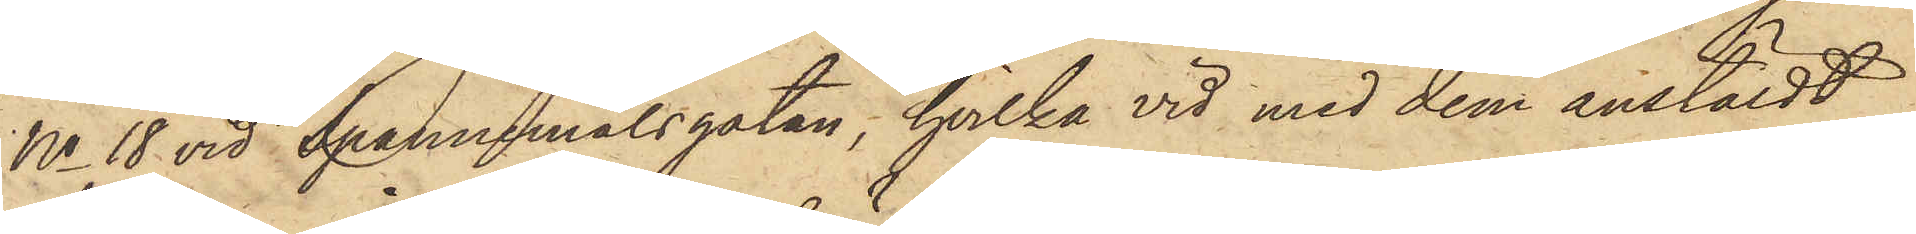No 18 vid Spannemålsgatan, hvilka vid med dem anstäldt
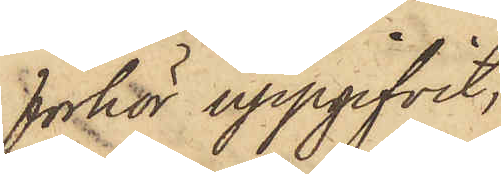förhör uppgifvit,
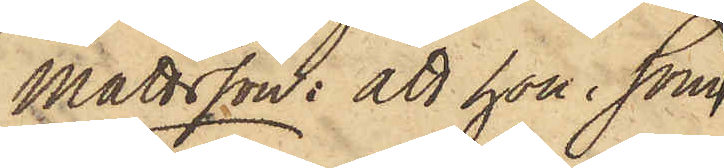Mattsson: att hon, i som
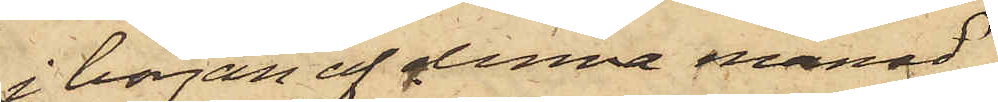i början af denna månad
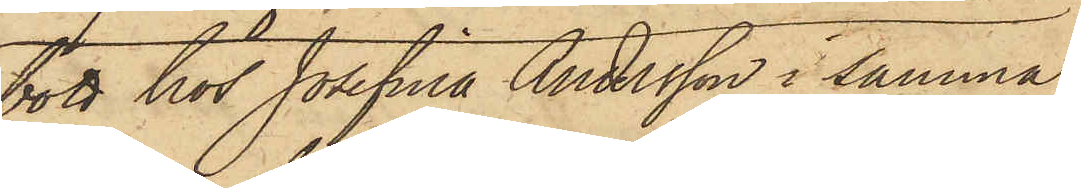bott hos Josefina Andersson i samma
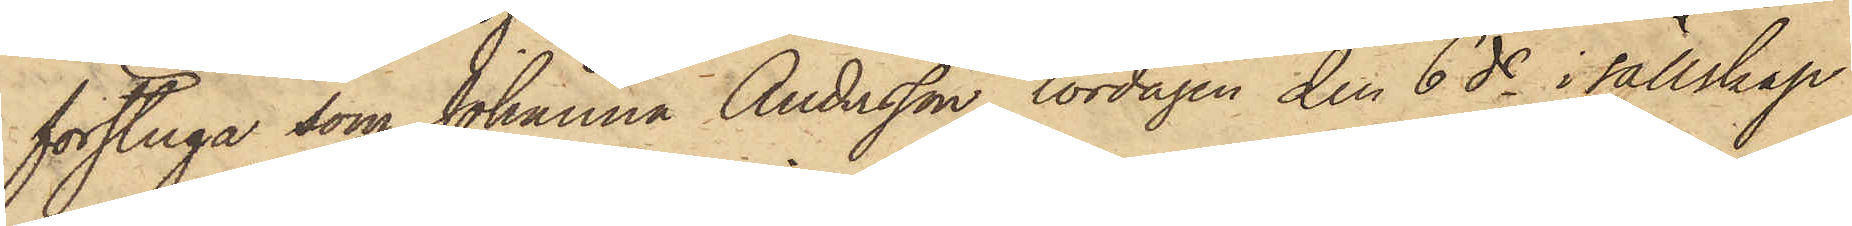förstuga som Johanna Andersson, lördagen den 6 ds i sällskap
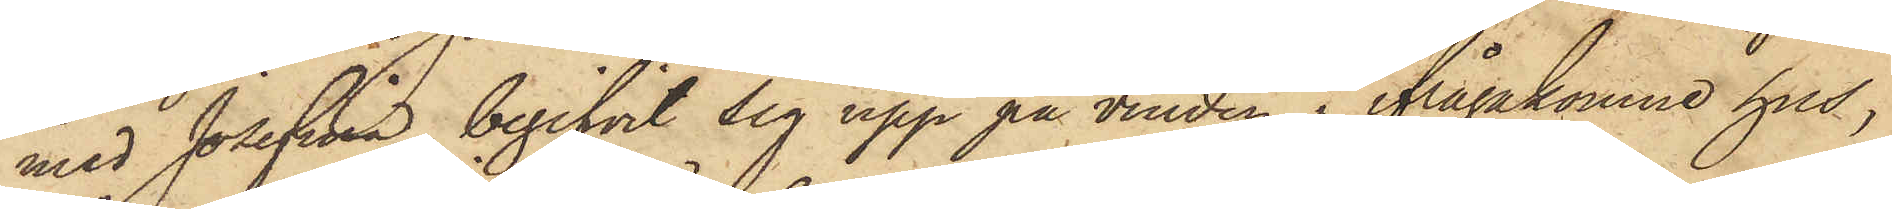med Josefina begifvit sig upp på vinden i ifrågakomne hus,
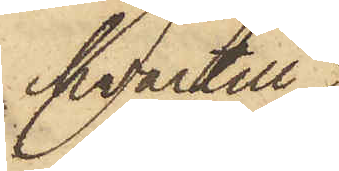hvartill
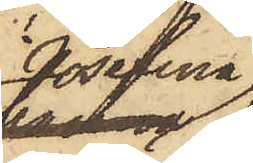Josefina
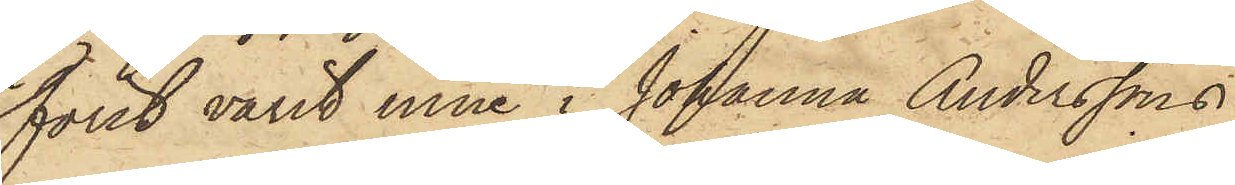först varit inne i Johanna Anderssons
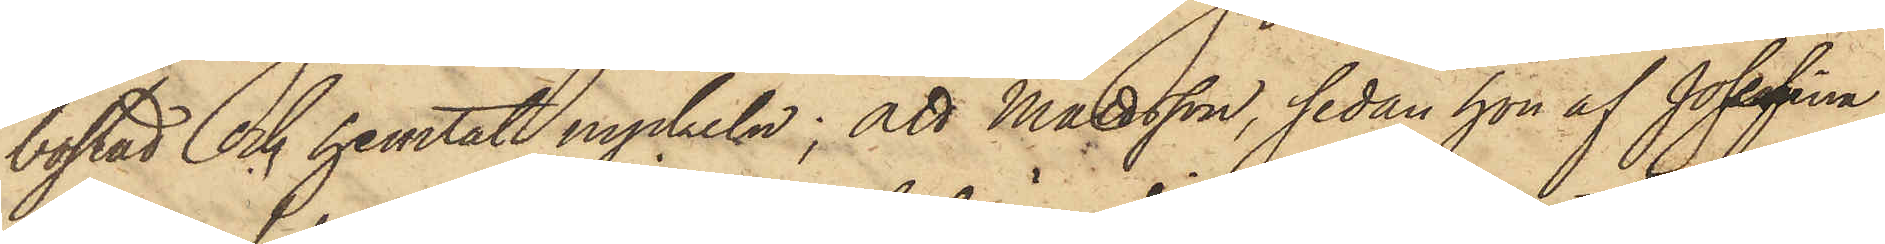bostad och hemtat nyckeln; att Mattsson, sedan hon af Josefina
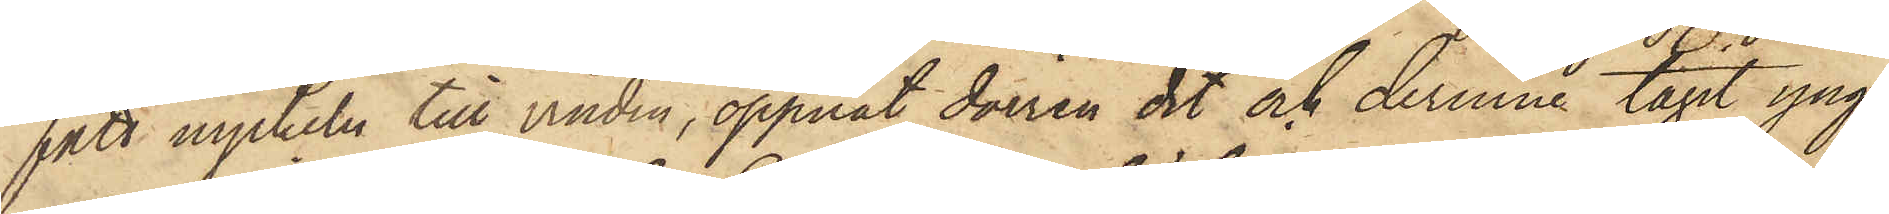fått nyckeln till vinden, öppnat dörren dit och derinne tagit yng¬
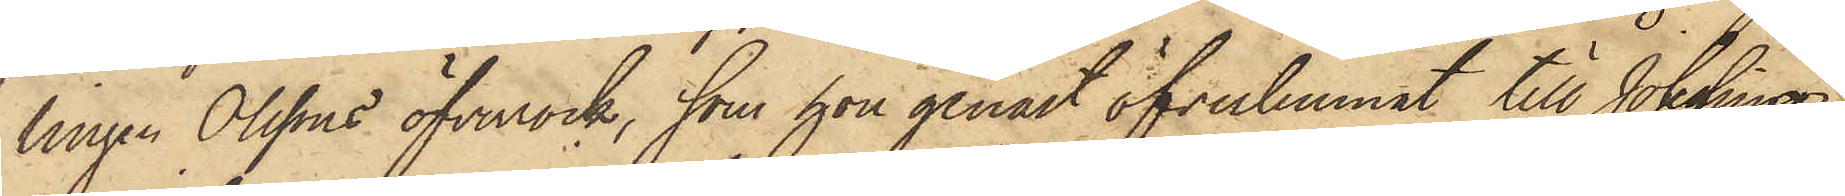lingen Olssons öfverrock, som hon genast öfverlemnat till Josefina;
